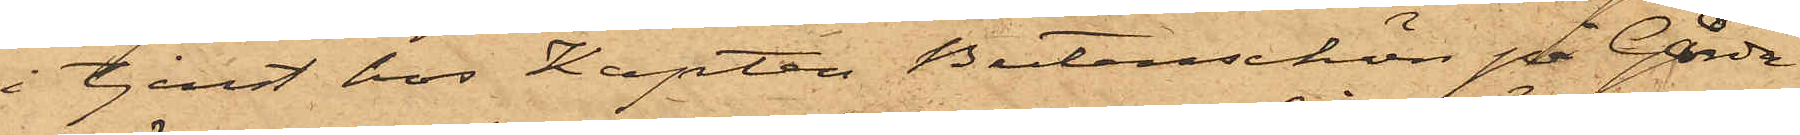i tjenst hos Kapten Butenschön på Gårda
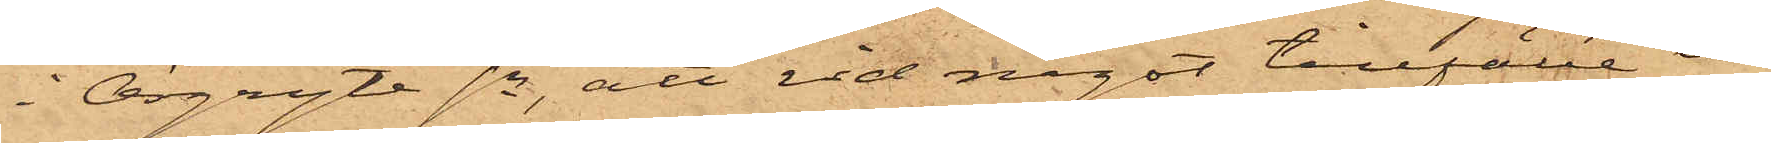i Örgryte sn, att vid något tillfälle un¬
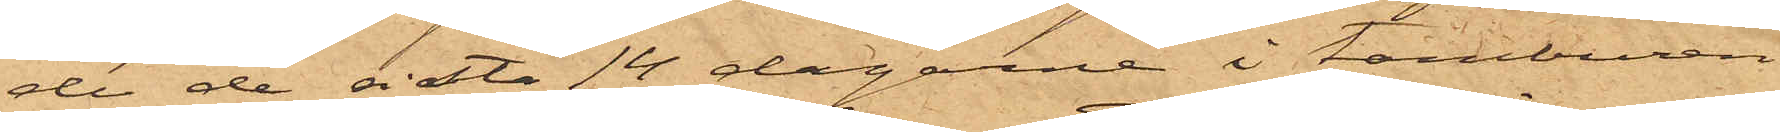der de sista 14 dagarne i tamburen
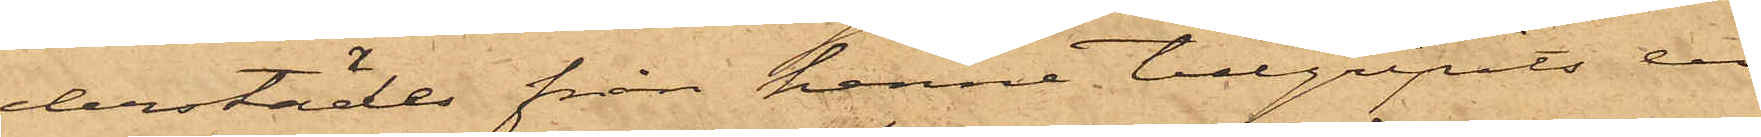derstädes från henne tillgripits en
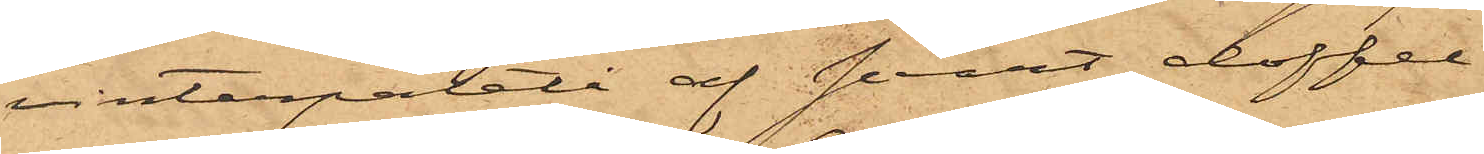vinterpaletå af svart doffel.
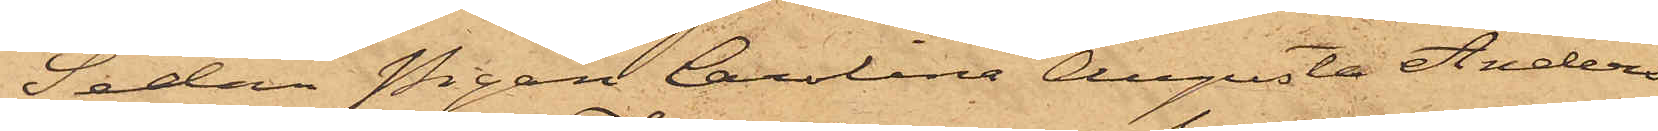Sedan Pigan Carolina Augusta Anders¬
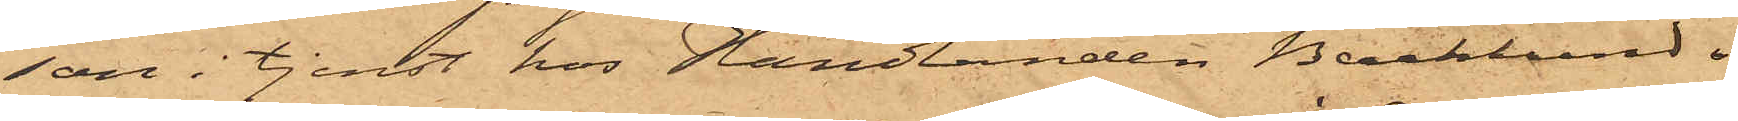son i tjenst hos Handlanden Backlund i
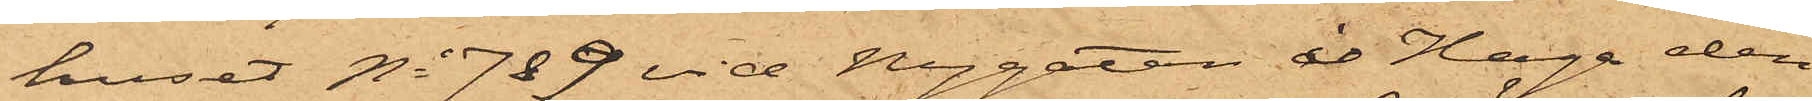huset No 7&9 vid Nygatan i Haga den
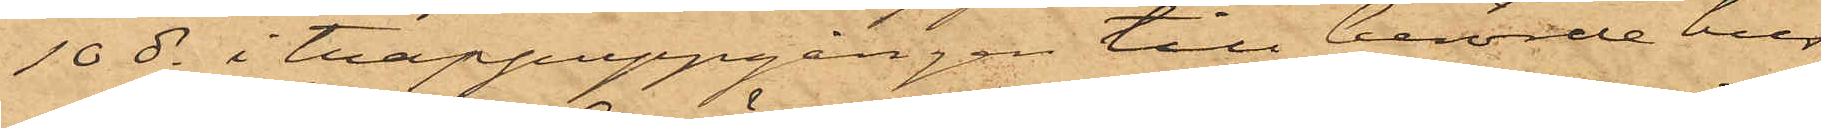10 ds i trappuppgången till berörde hus
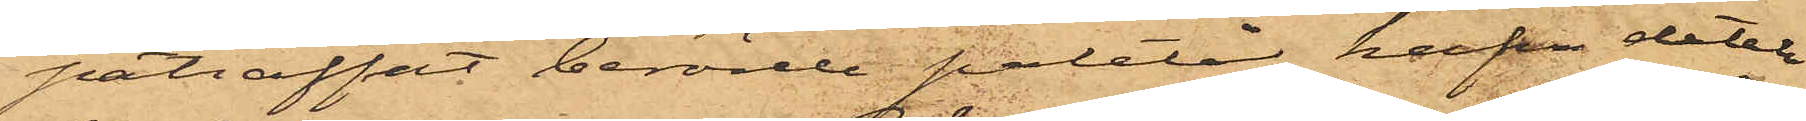påträffat berörde paletå, hafva detek¬
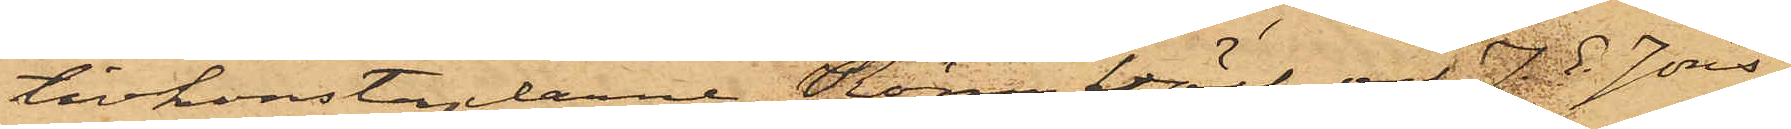tivkonstaplarne Rönnbäck och J.G. Jöns¬
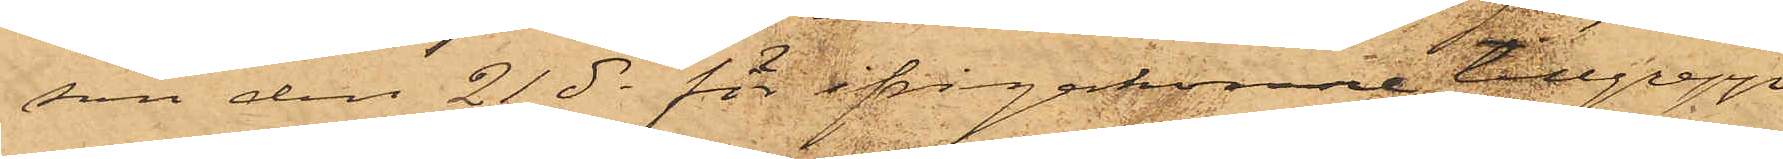son den 21 ds för ifrågakomne tillgrepp
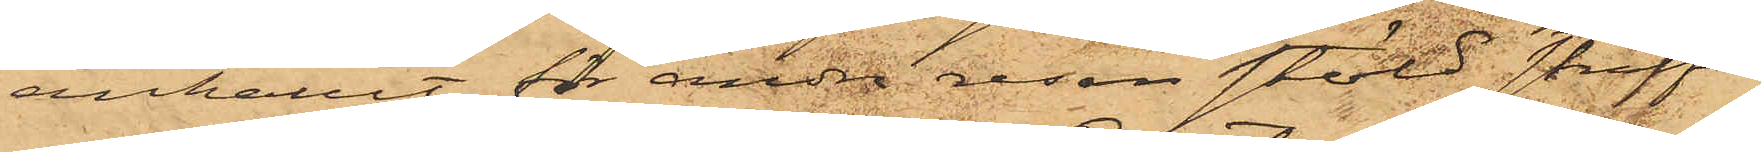anhållit för andra resan stöld straffa¬
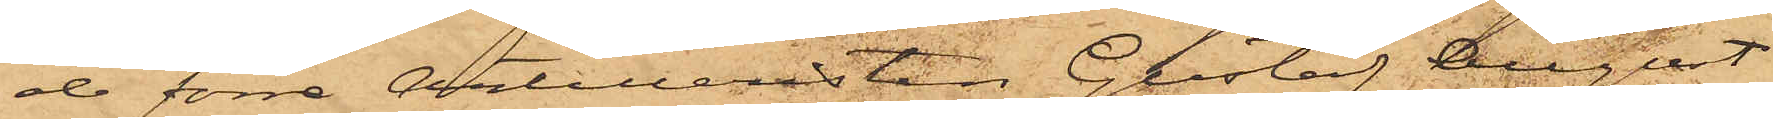de förre Artilleristen Gustaf August
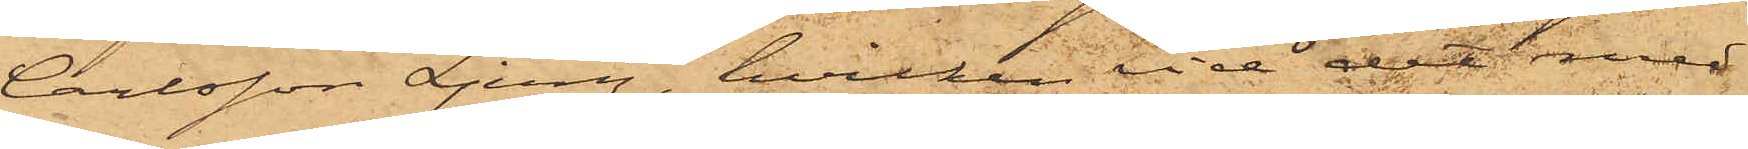Carlsson Ljung, hvilken vid det med
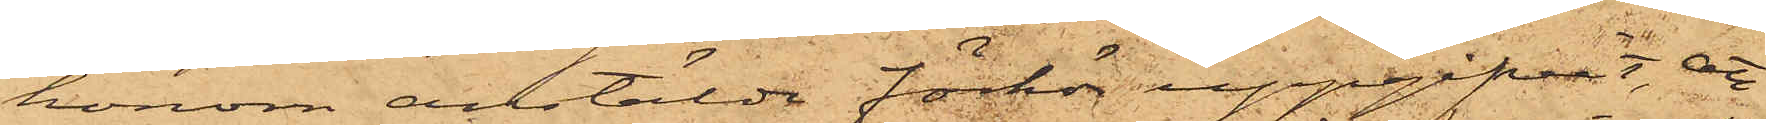honom anstälde förhör uppgifvit, att
